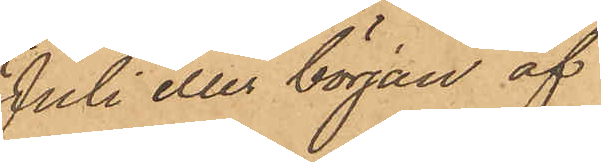Juli eller början af
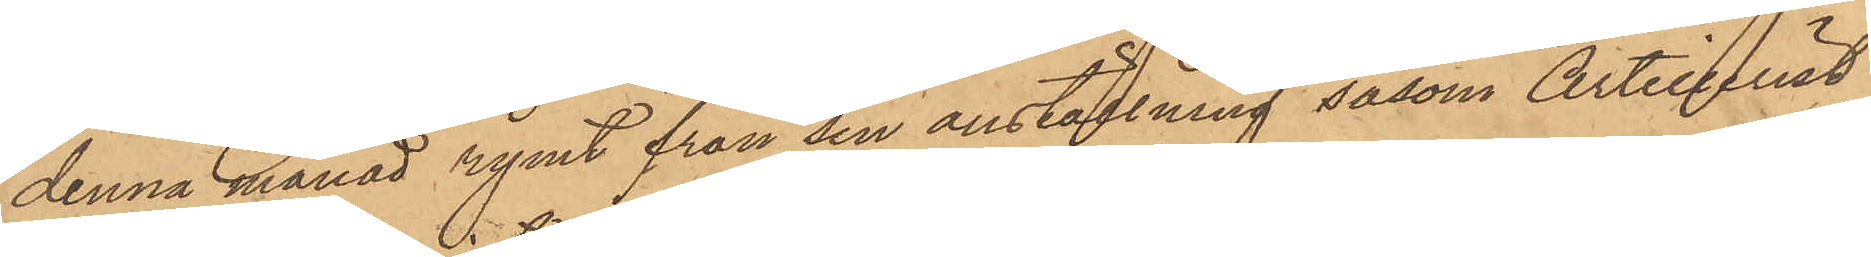denna månad rymt från sin anställning såsom Artillerist
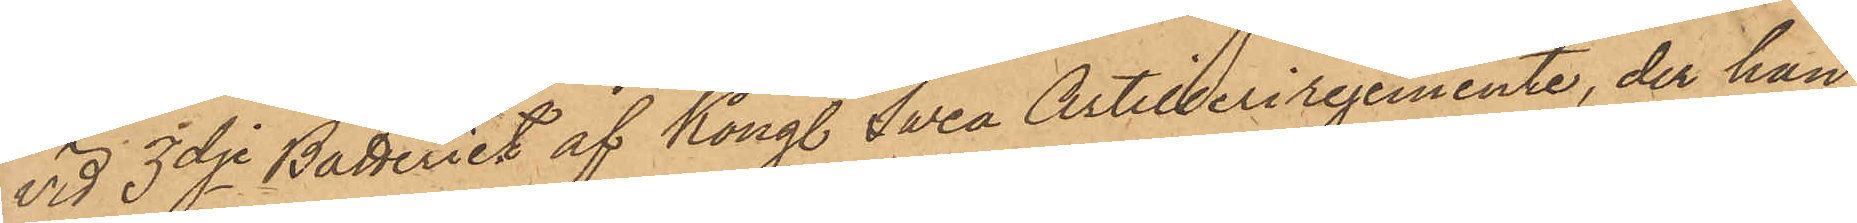vid 3dje Batteriet af Kongl Svea Artilleriregemente, der han
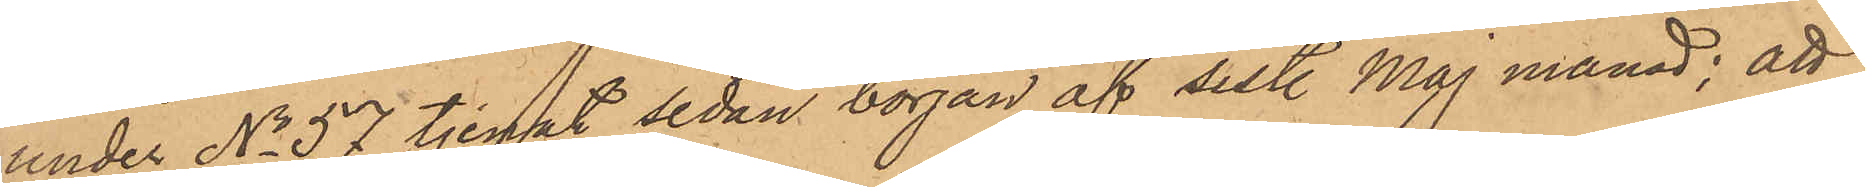under No 57 tjenat sedan början af sist. Maj månad; att
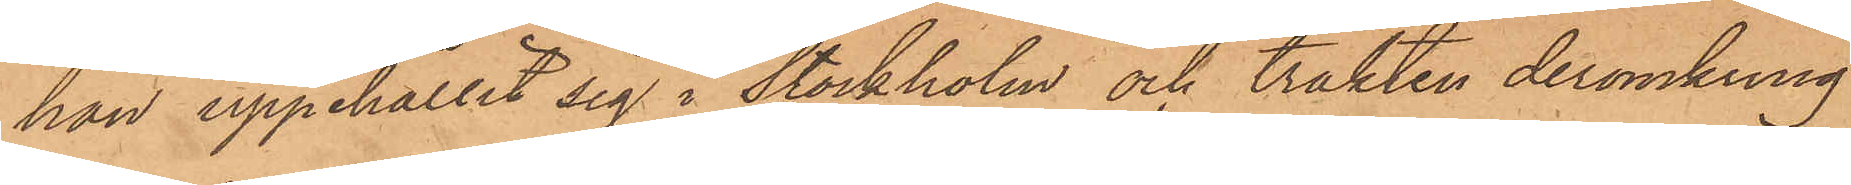han uppehållit sig i Stockholm och trakten deromkring
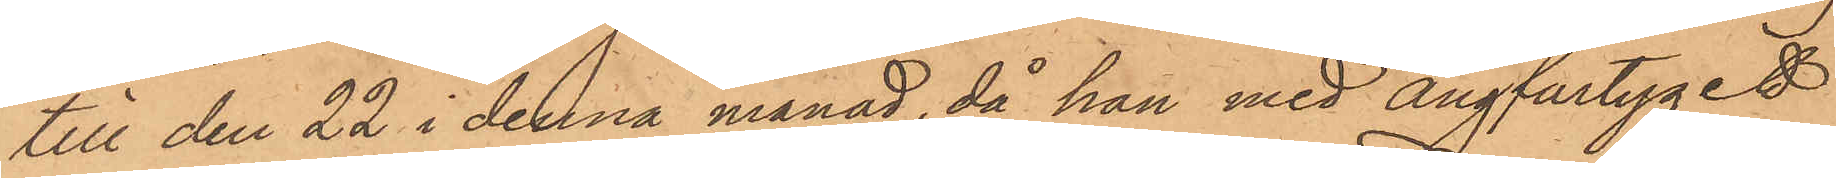till den 22 i denna månad, då han med ångfartyget
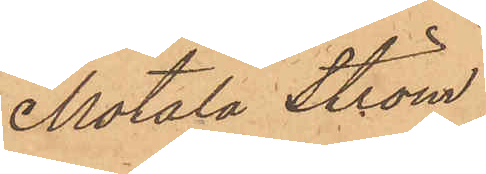"Motala Ström"
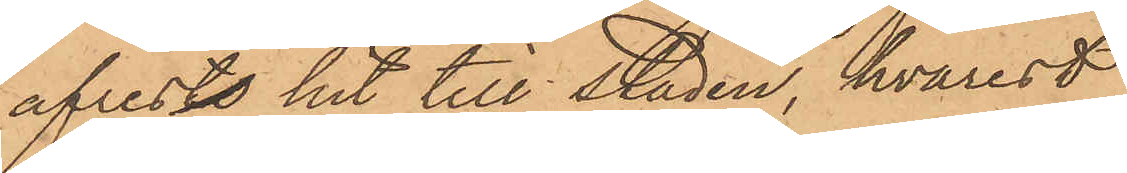afreste hit till staden, hvarest
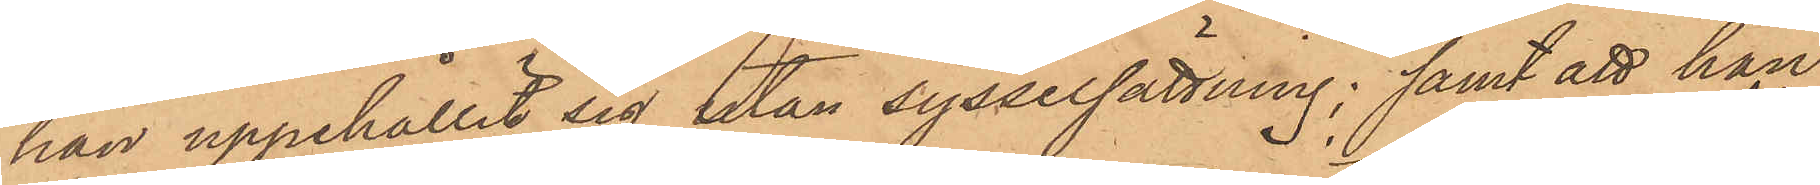han uppehållit sig utan sysselsättning; samt att han
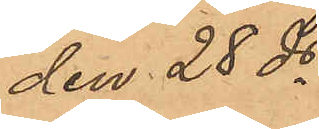den 28 ds
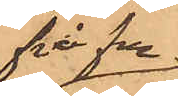på f.m.
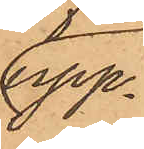upp¬
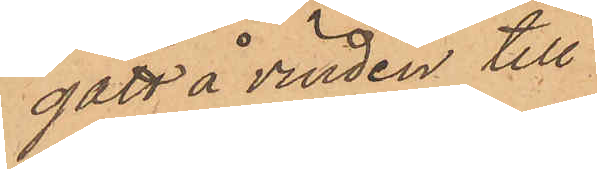gått å vinden till
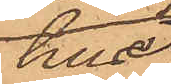huset
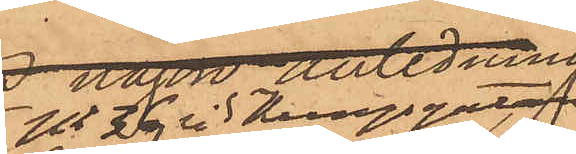No 36 vid Kungsgatan 
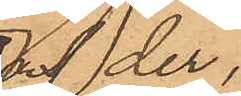och der
